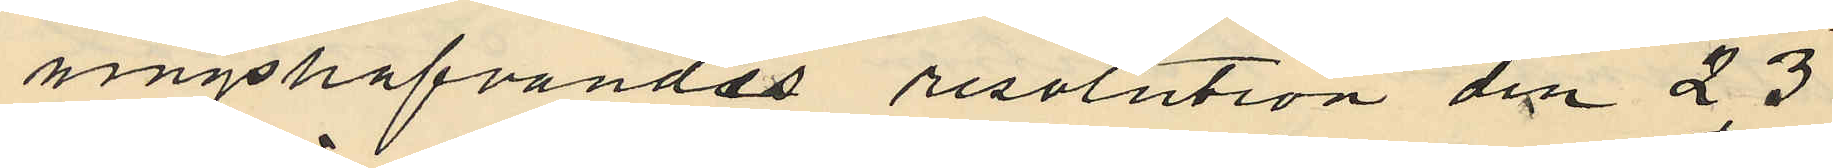ningshafvandes resolution den 23
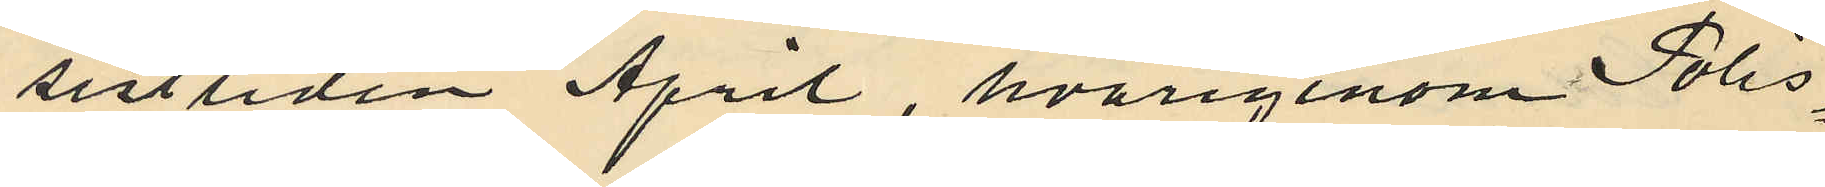sistliden April, hvarigenom Polis¬
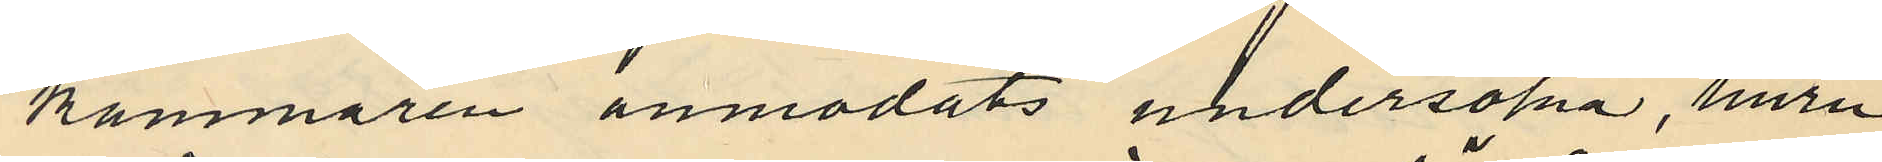kammaren anmodats undersöka, huru
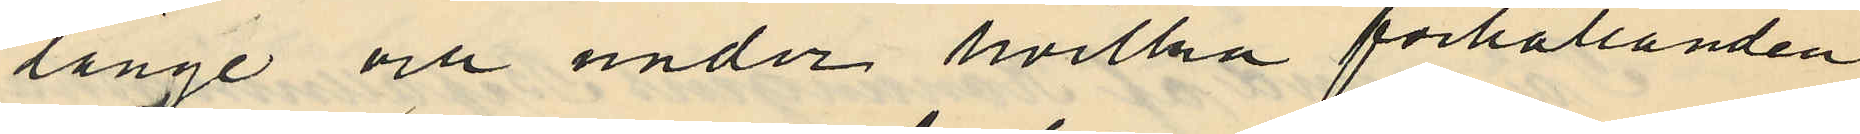länge och under hvilka förhållanden
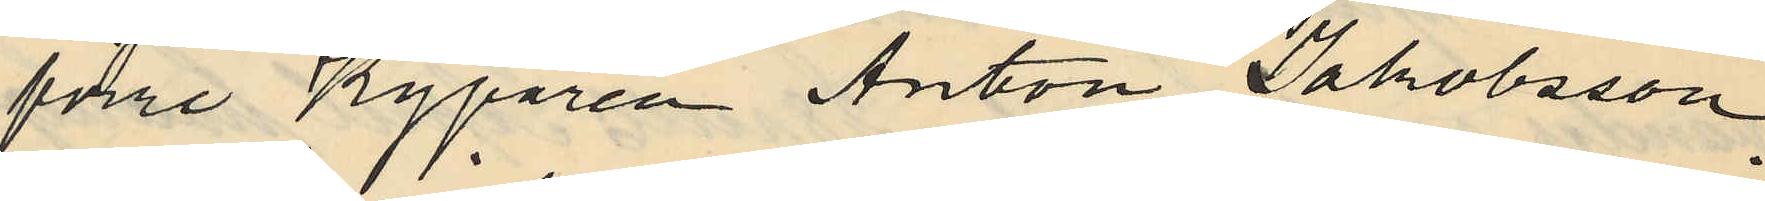förre Kyparen Anton Jakobsson,
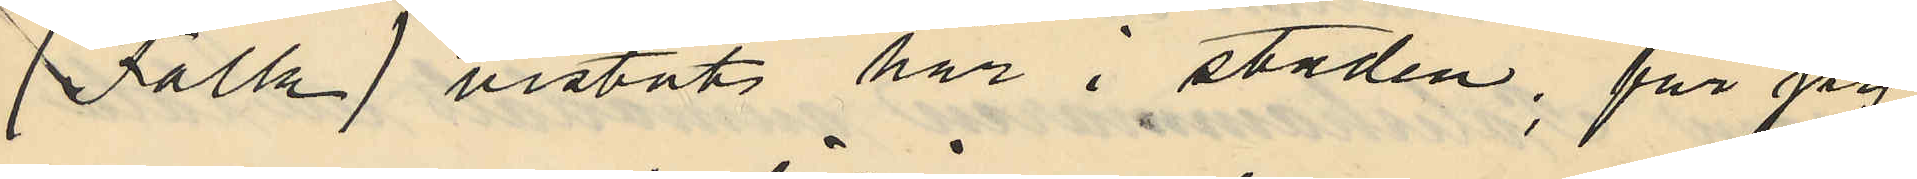(Falk) vistats här i staden; får jag
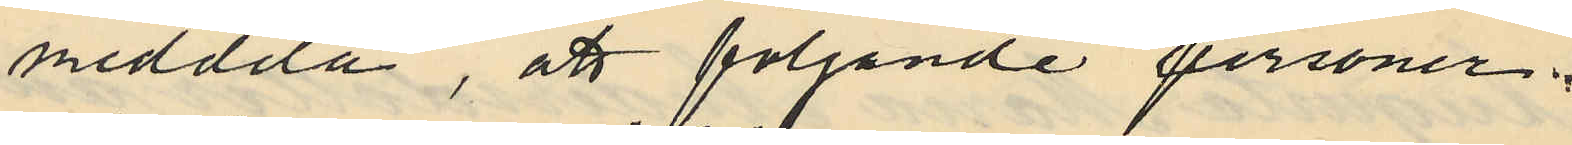meddela, att följande personer
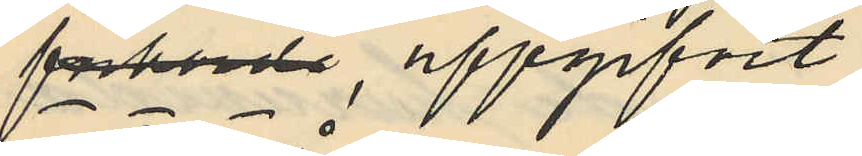förhörde, uppgifvit
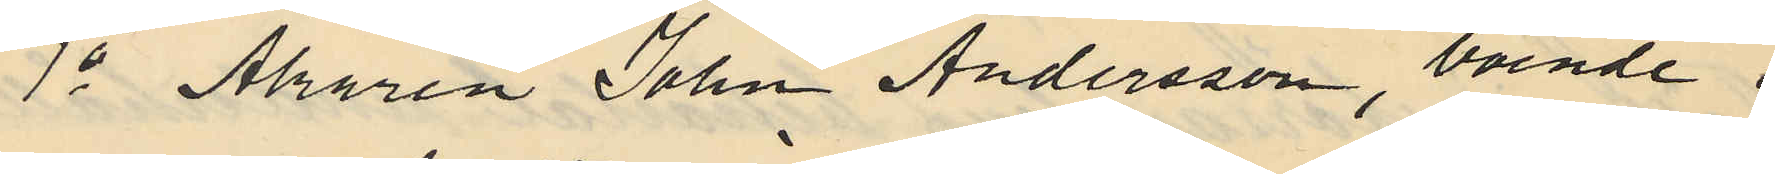1o Åkaren John Andersson, boende i
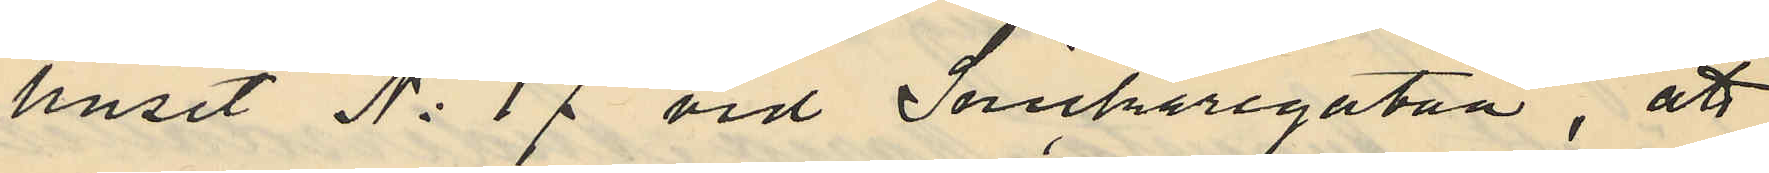huset No 17 vid Snickaregatan, att
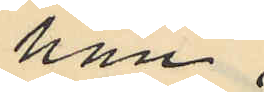han,
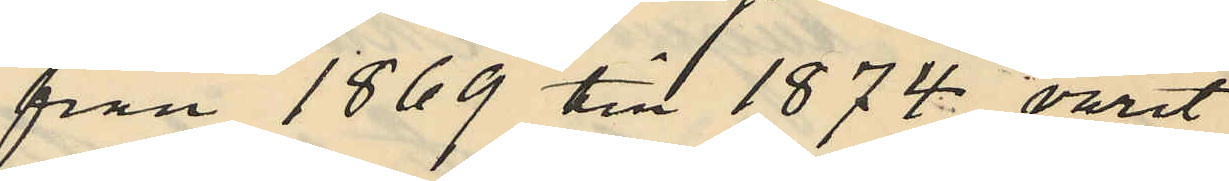från 1869 till 1874 varit
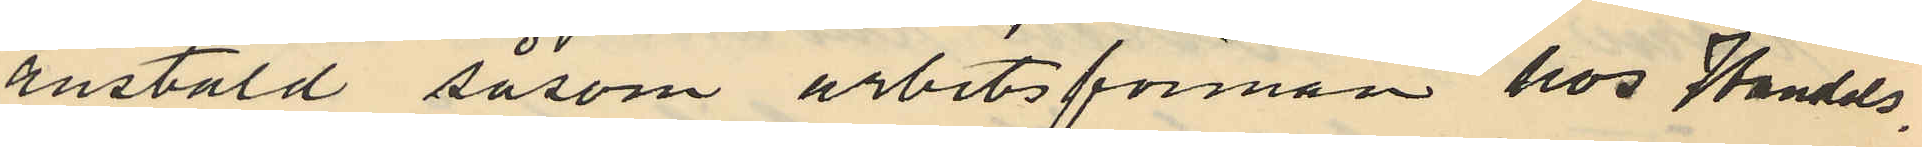anstäld såsom arbetsförman hos Handels¬
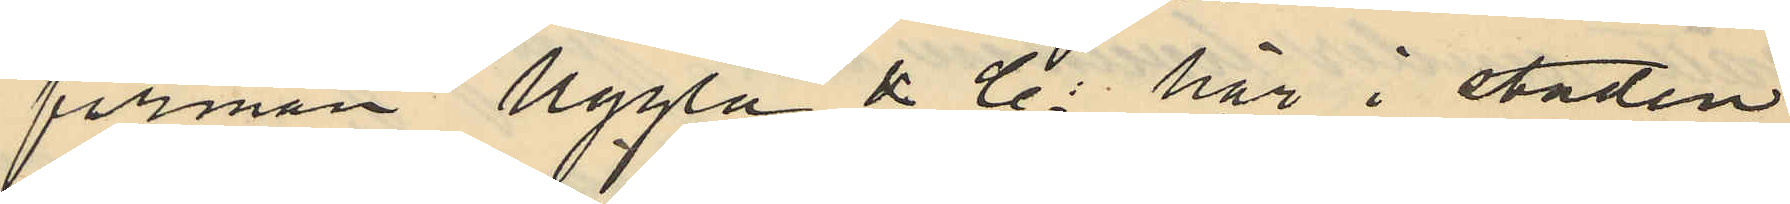firman Uggla & Co här i staden
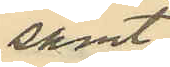samt
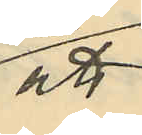att
